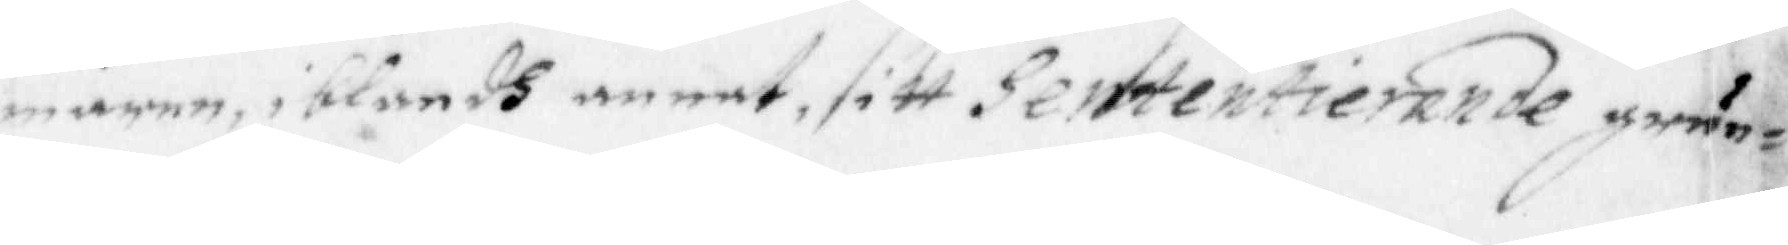maren, iblandh annat, sitt Sententierande grun¬
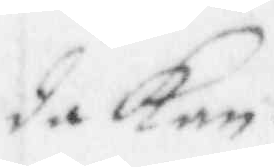da kan.
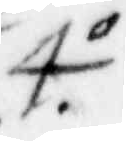4.o
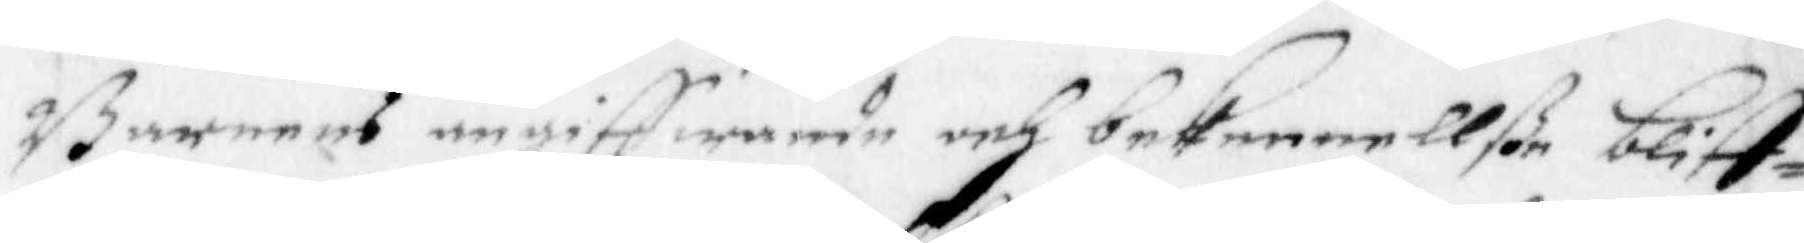Barnens angiffwande och bekennellße bliff¬
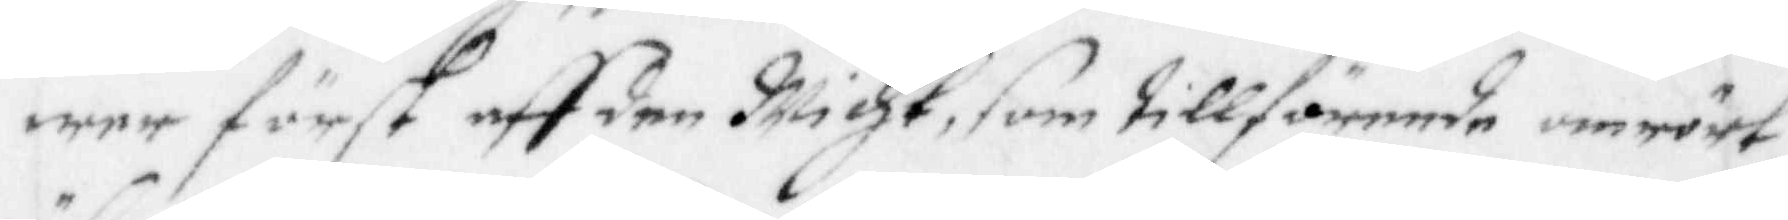wer först aff den Wicht, som tillförende omrört
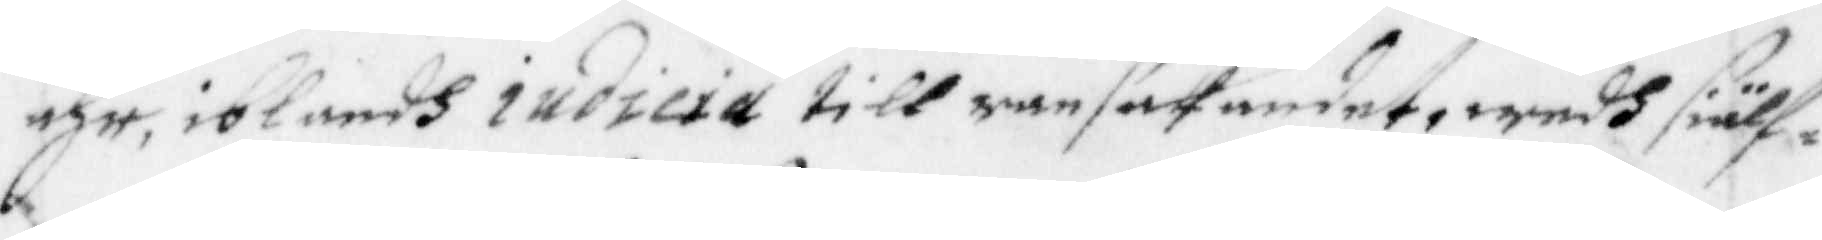ähr, iblandh indicie till ransakandet, wedh siälf¬
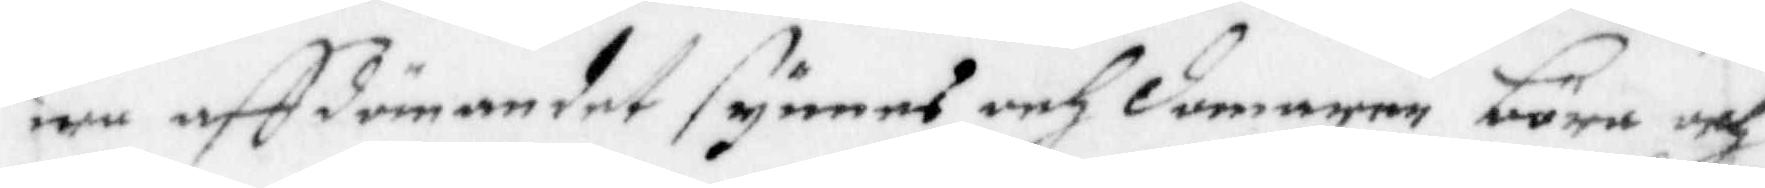wa aff dmandet synnes och domaren böra och
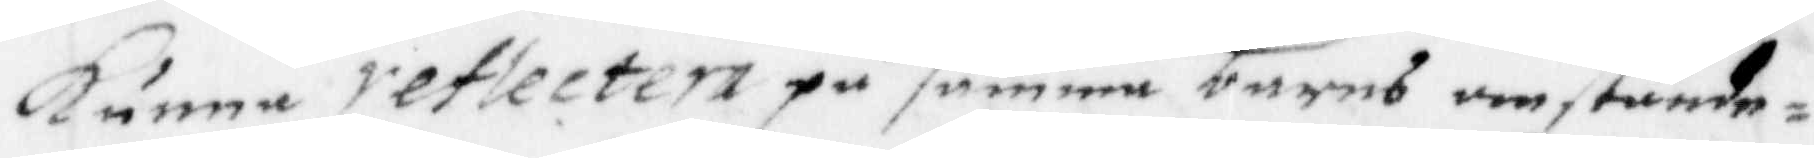kunna reflectera på samma barns omstände¬
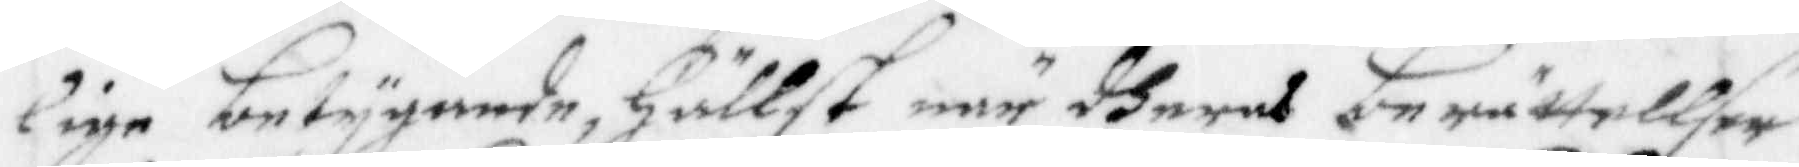lige betygande, hällst när dheres berättellser
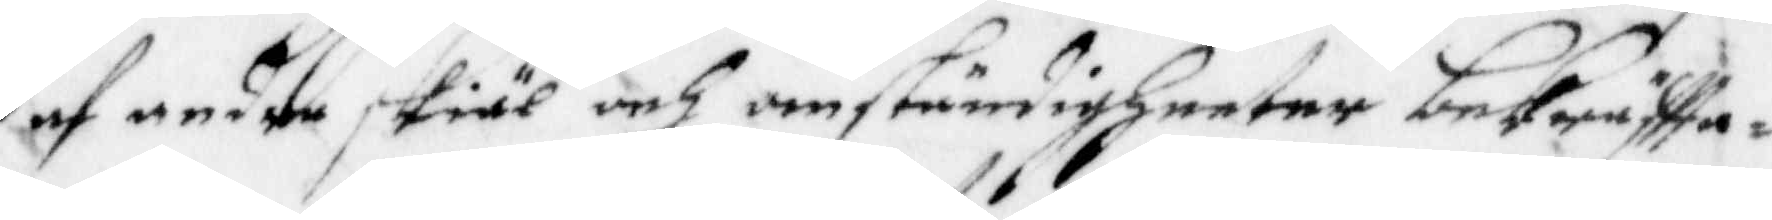af andra skiäl och omständigheeter bekräftta¬
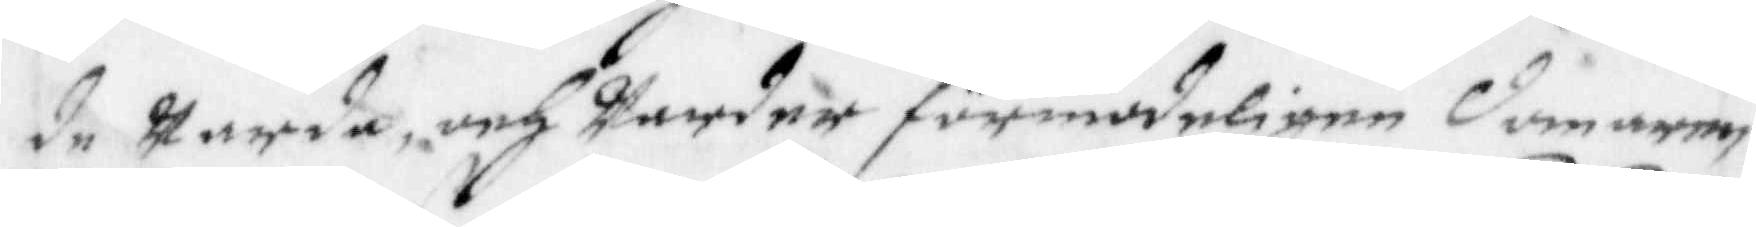de warda, och warder förmodeligen domaren
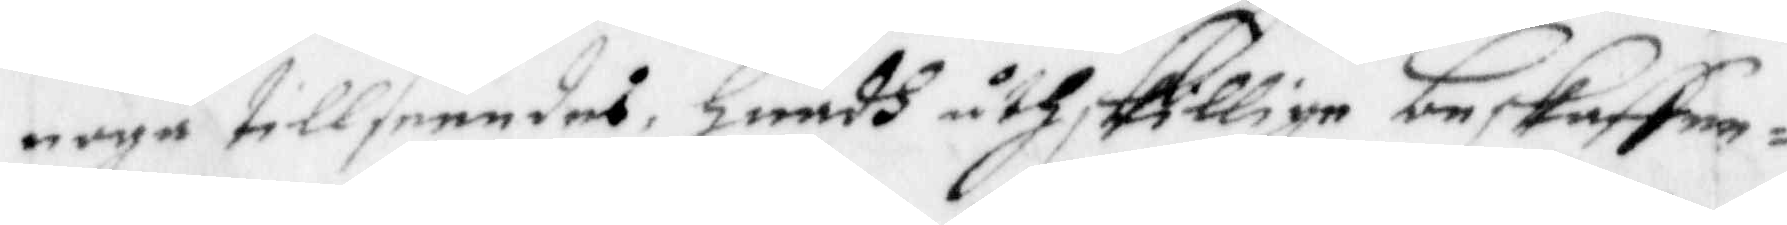noga tillseendes, huadh åthskillige beskaffen¬
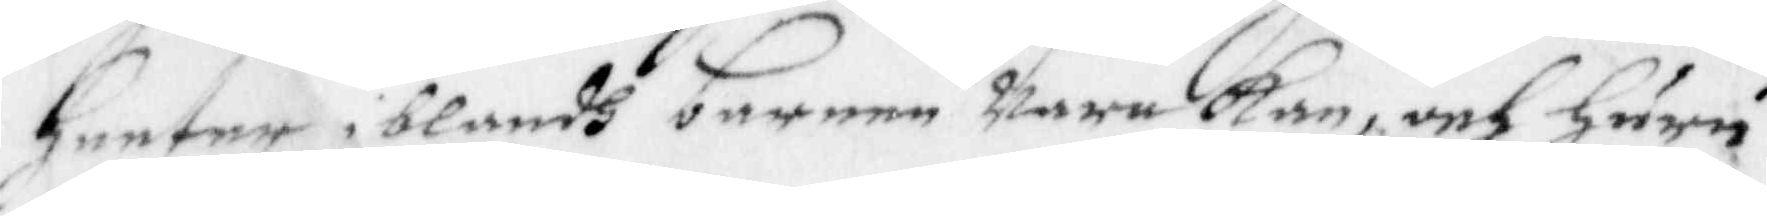heeter iblandh barnen wara kan, och huru
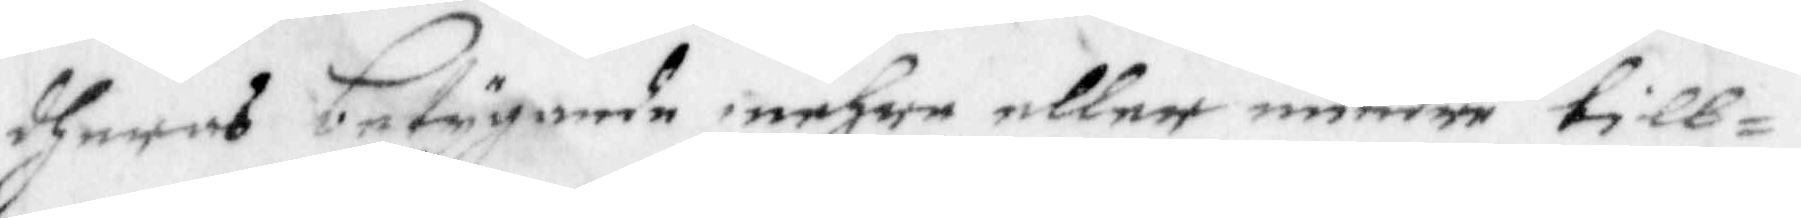dheras betygande mehre eller mindre till¬
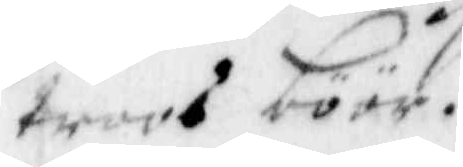troos böör.
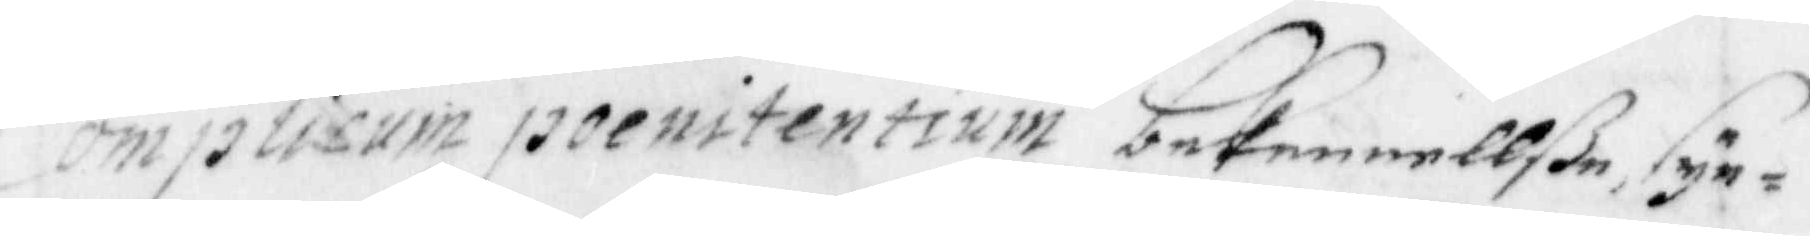Comtisum poenitentium bekennellße syn¬
